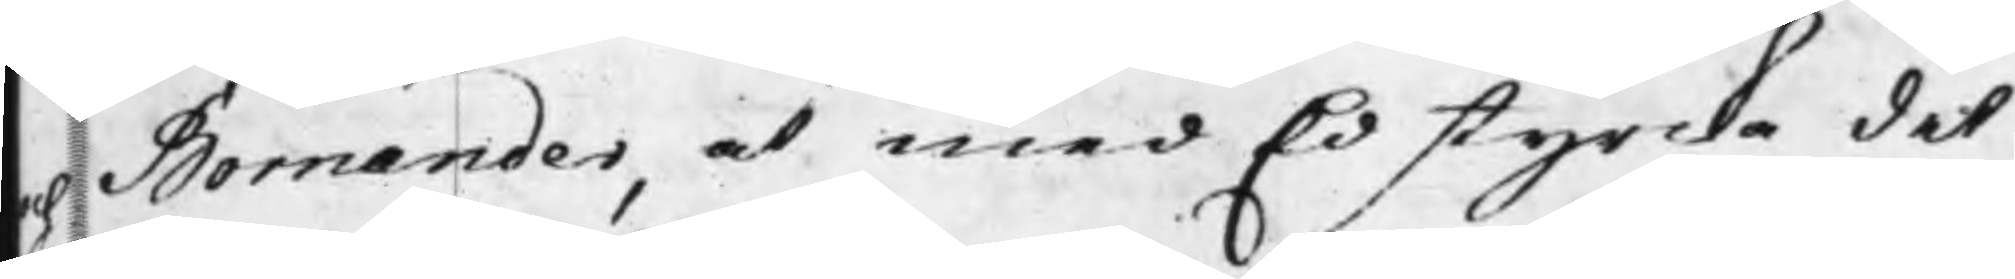och Bornander, at med Ed styrcka det
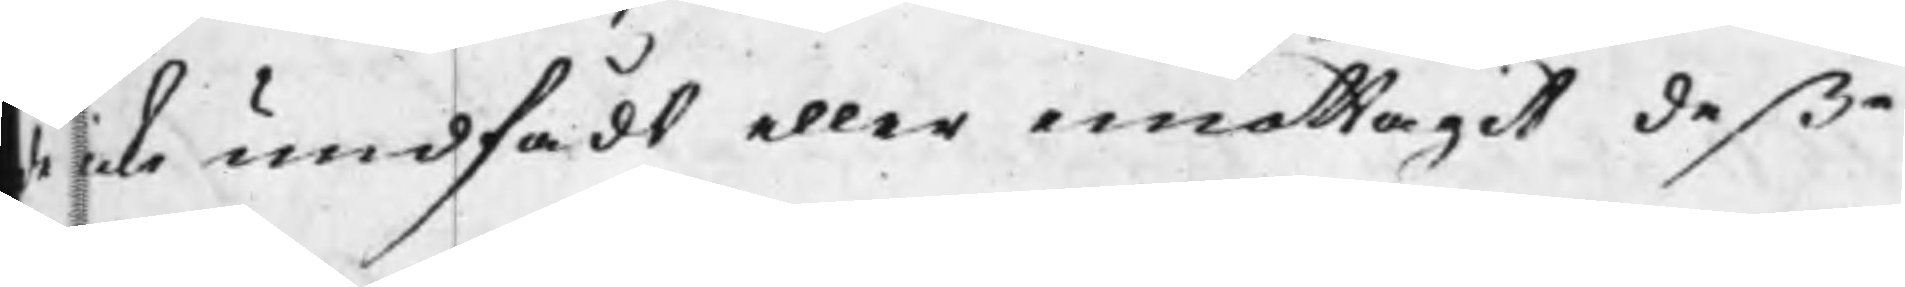de icke undfådt eller emottagit deße
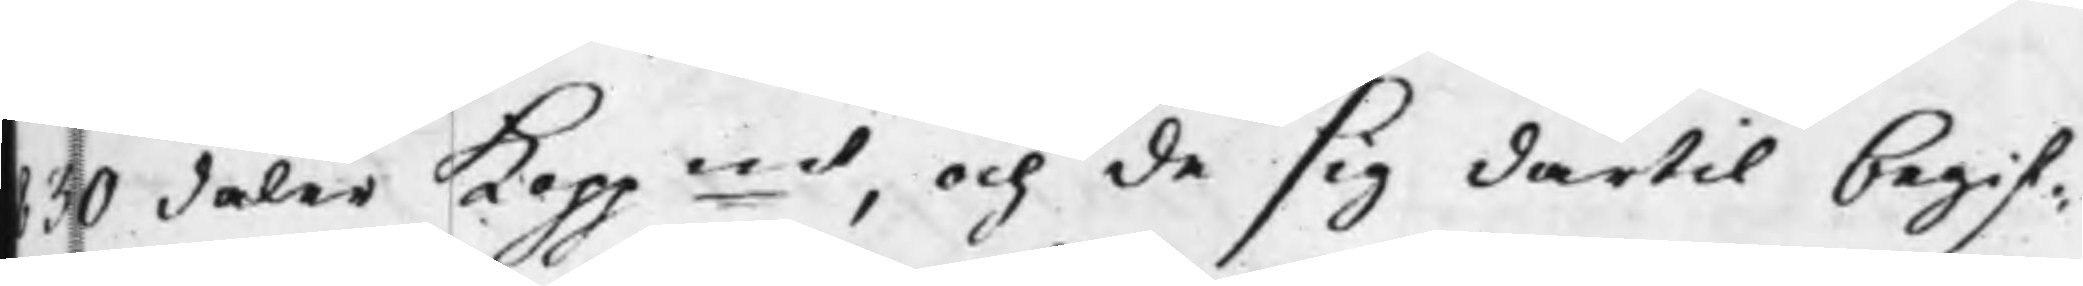830 daler Koppmt, och de sig därtil begif¬
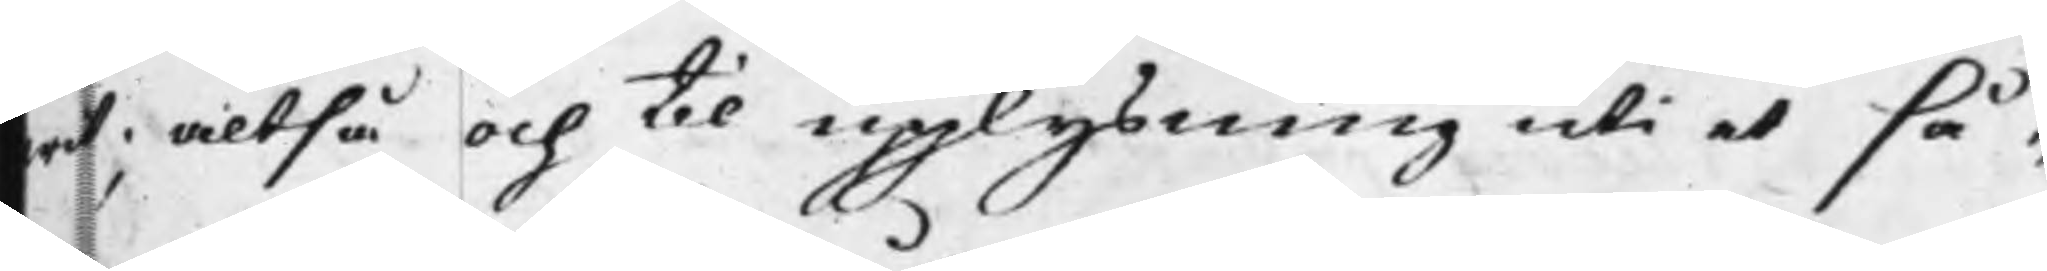wit; altså och til upplysning uti et så¬
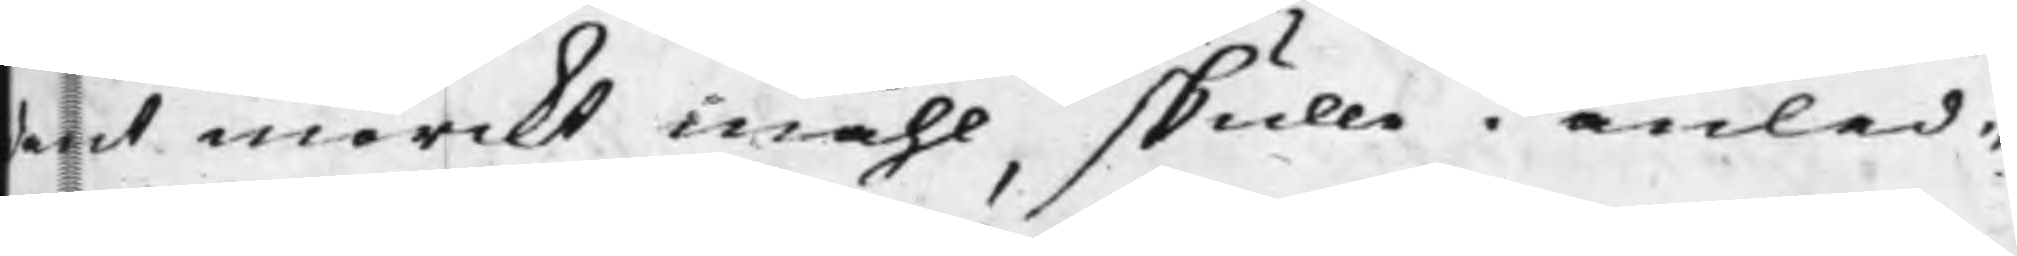dant mörckt måhl, skulle i anled¬
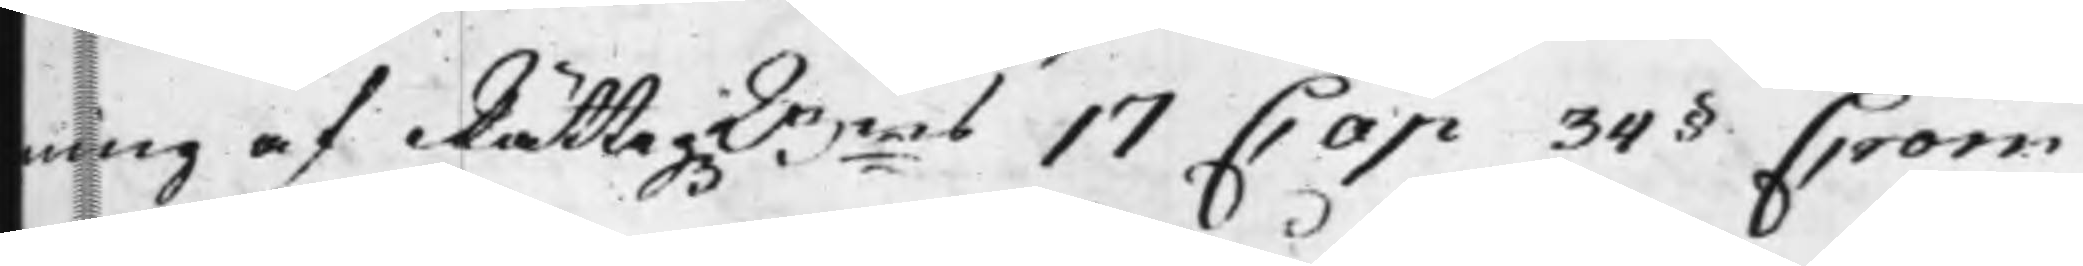ning af RättegzBens 17 Cap 34§ Crom
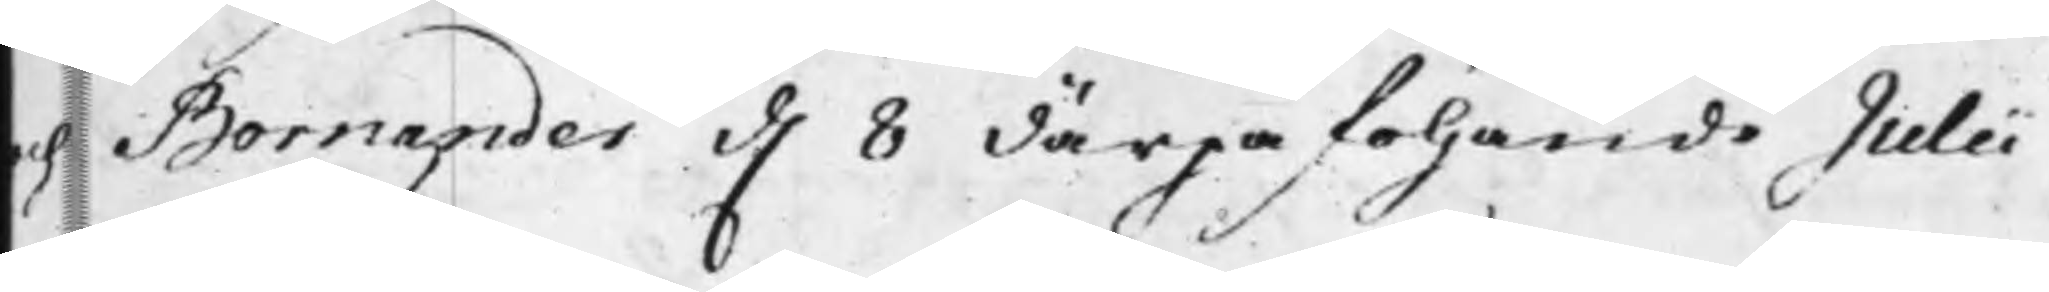och Bornander d. 8 därpåföljande Julii
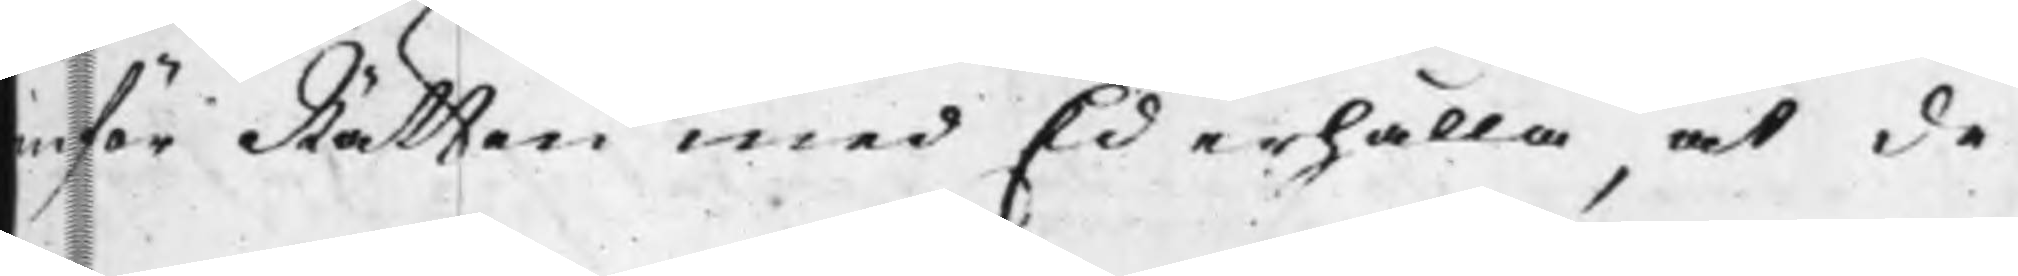inför Rätten med Ed erhålla, at de
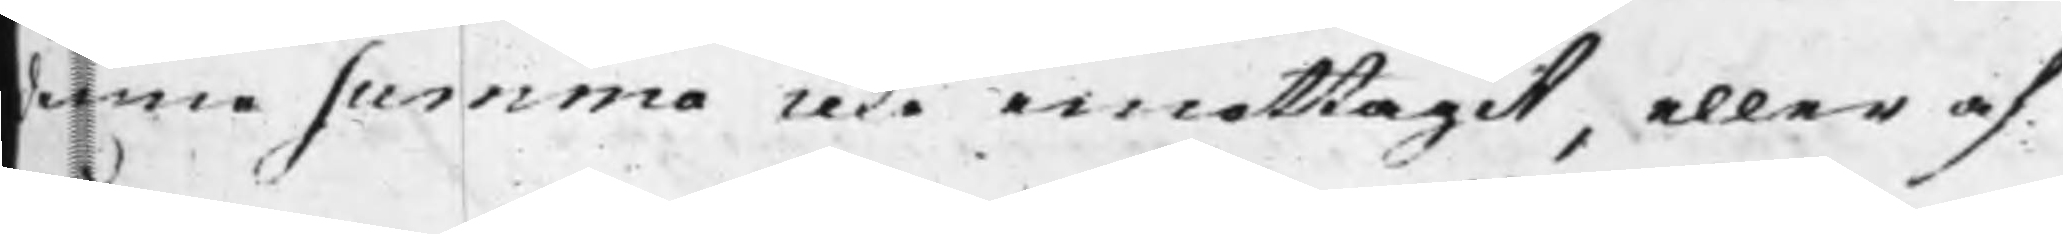denne summa icke emottagit, eller af
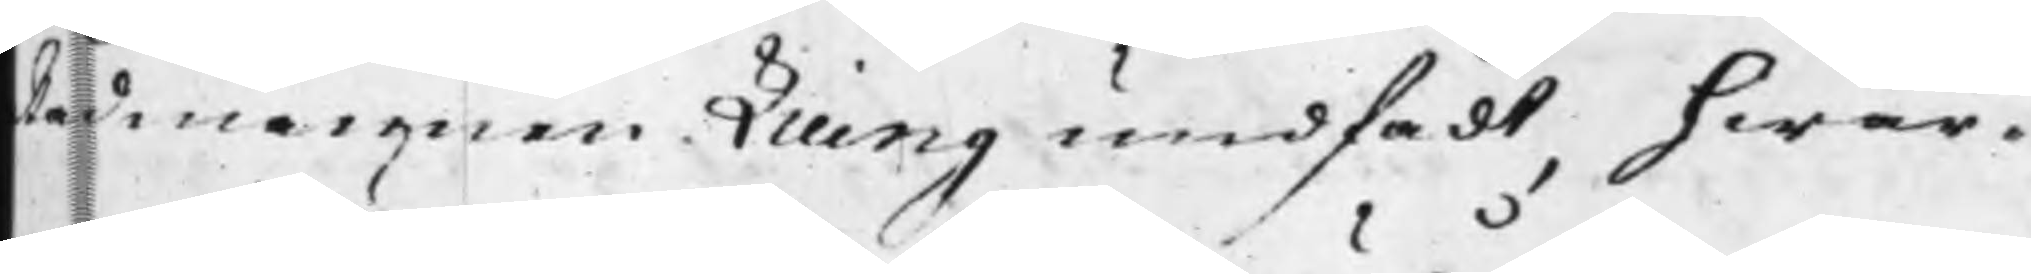Rådmannen Liung undfådt, hwar¬
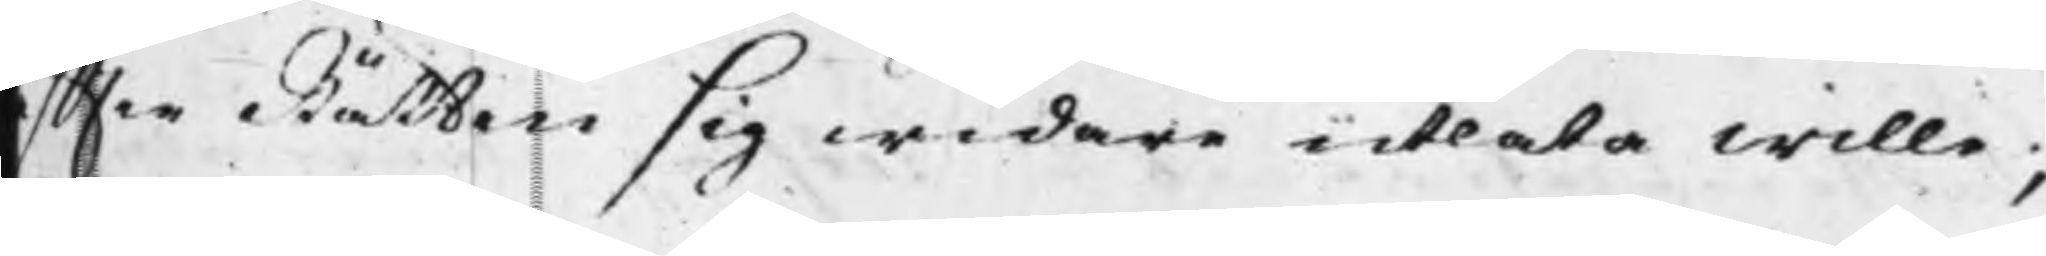effter Rätten sig widare utlåta wille;
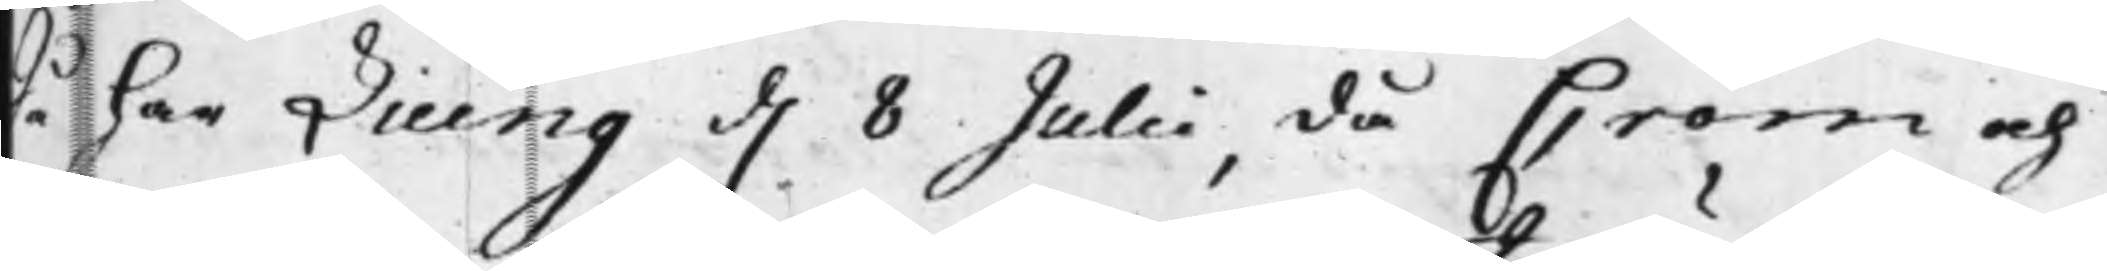Då har Liung d. 8 Julii, då Crom och
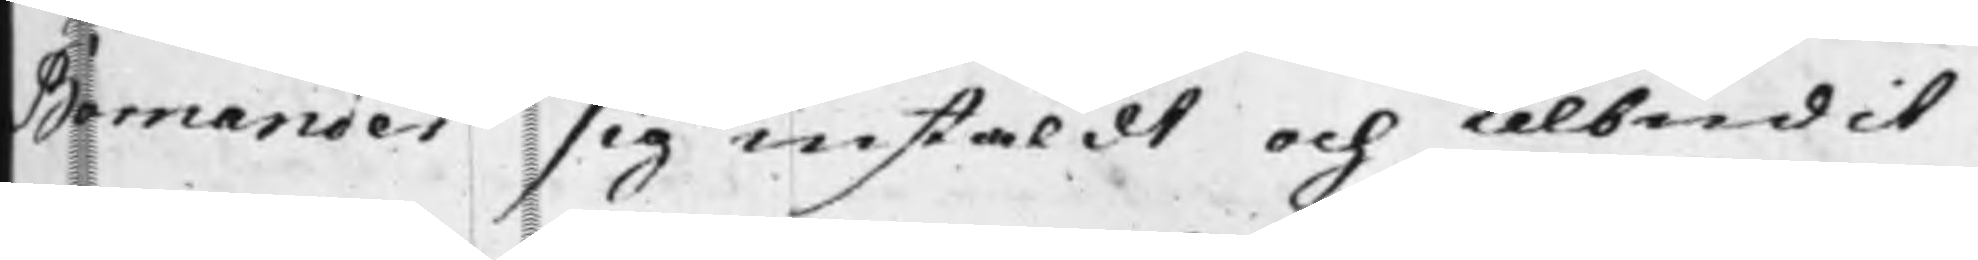Bornander sig instäldt och telbudit
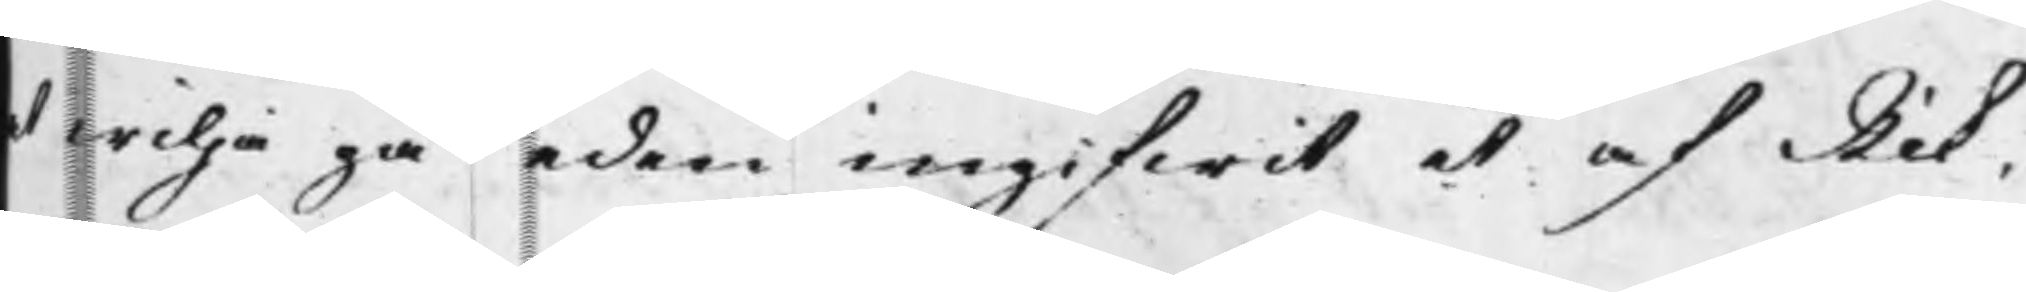at wilja gå eden ingifwit et af Rik¬
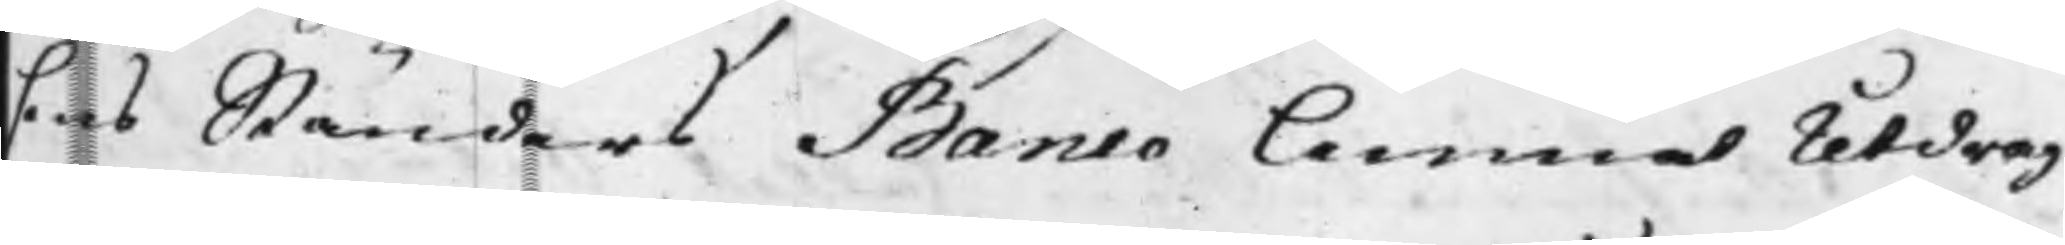sens Ständers Banco lemnat Utdrag
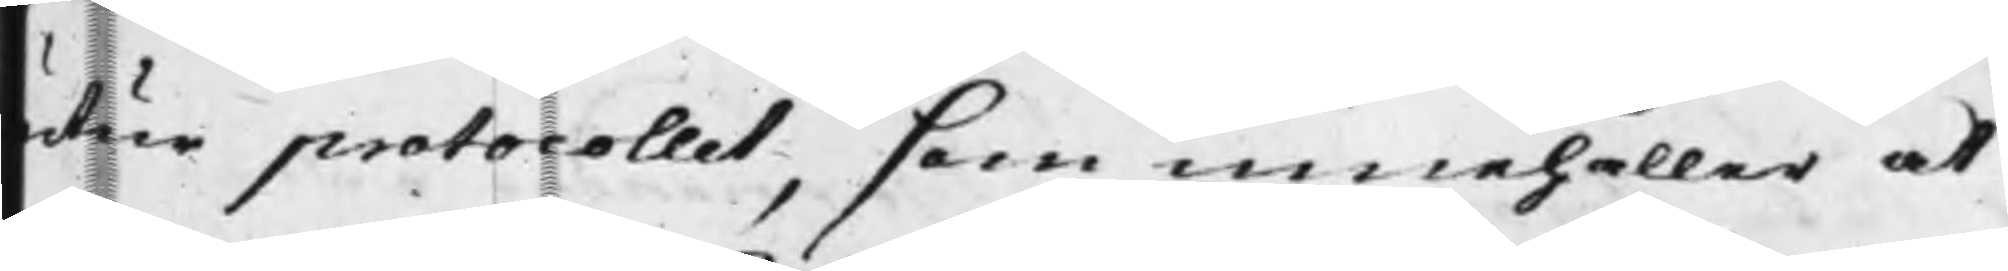utur protocollet, som innehåller at
